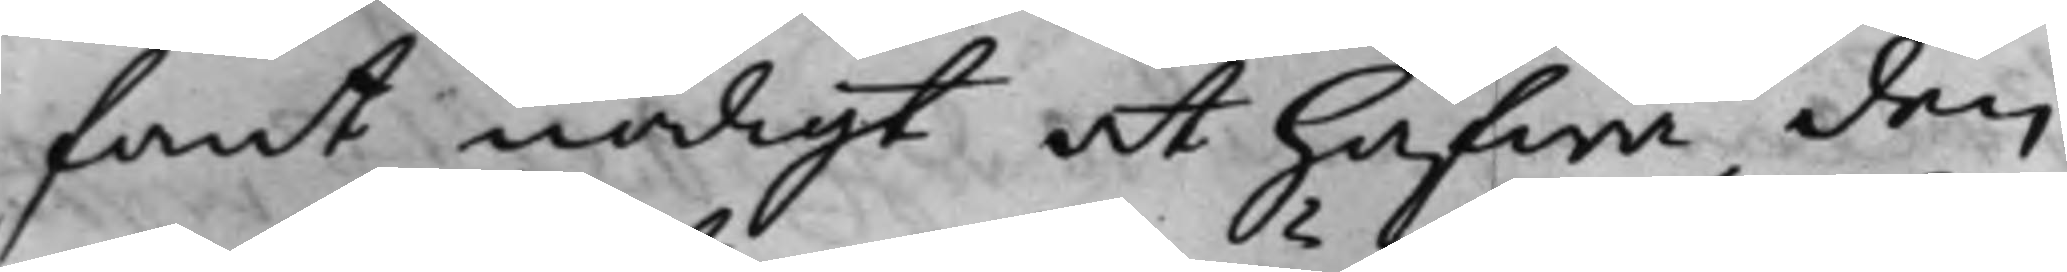fant nödigt at hafwa den
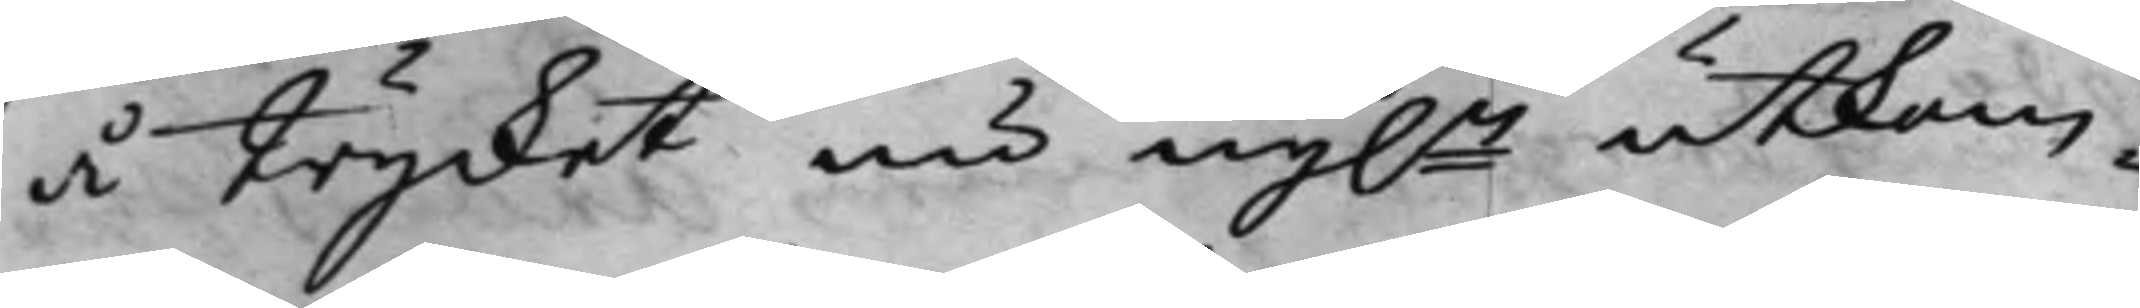å trycket nu nyln utkom¬
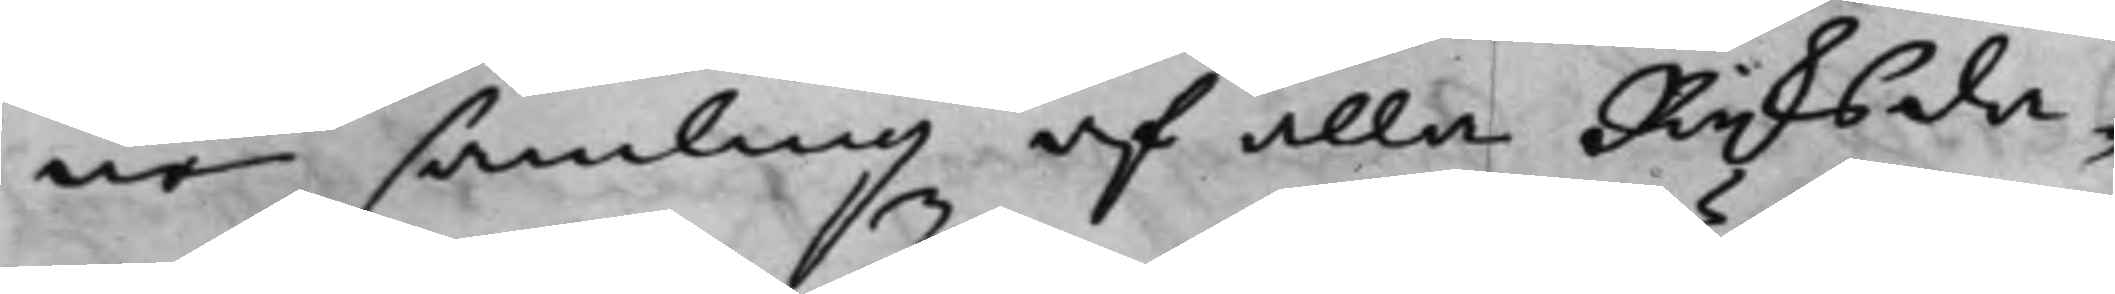ne samling af alla Rijksda¬
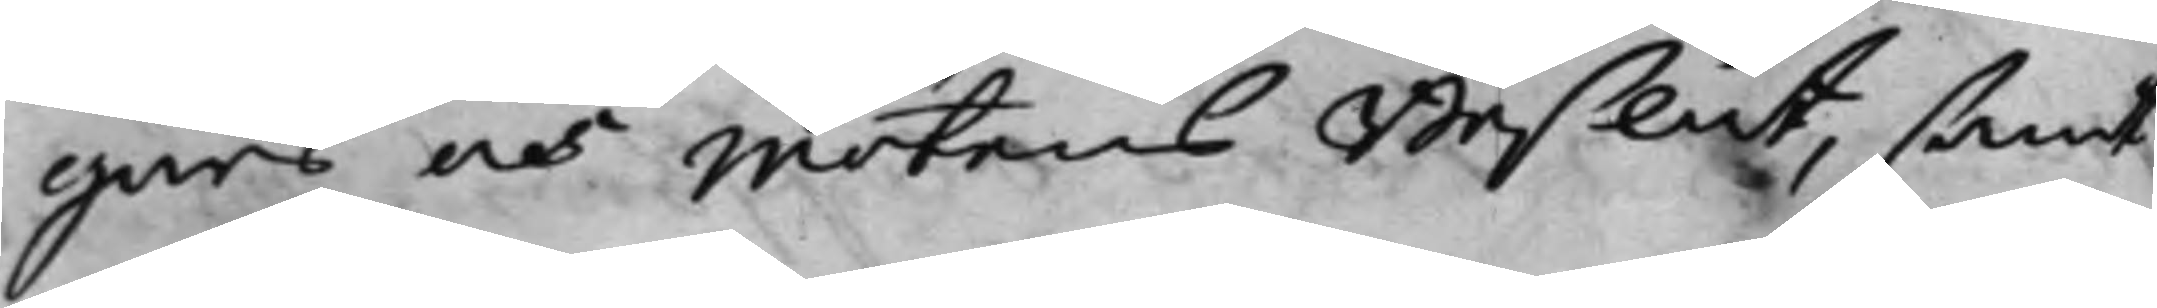gars och Mötens Beslut, samt
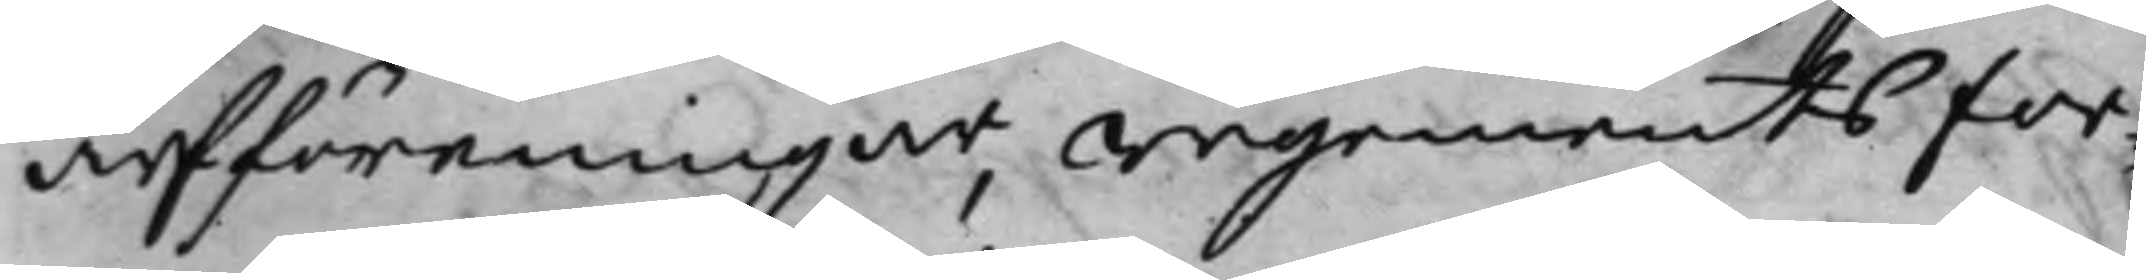arfföreningar, regementsfor¬
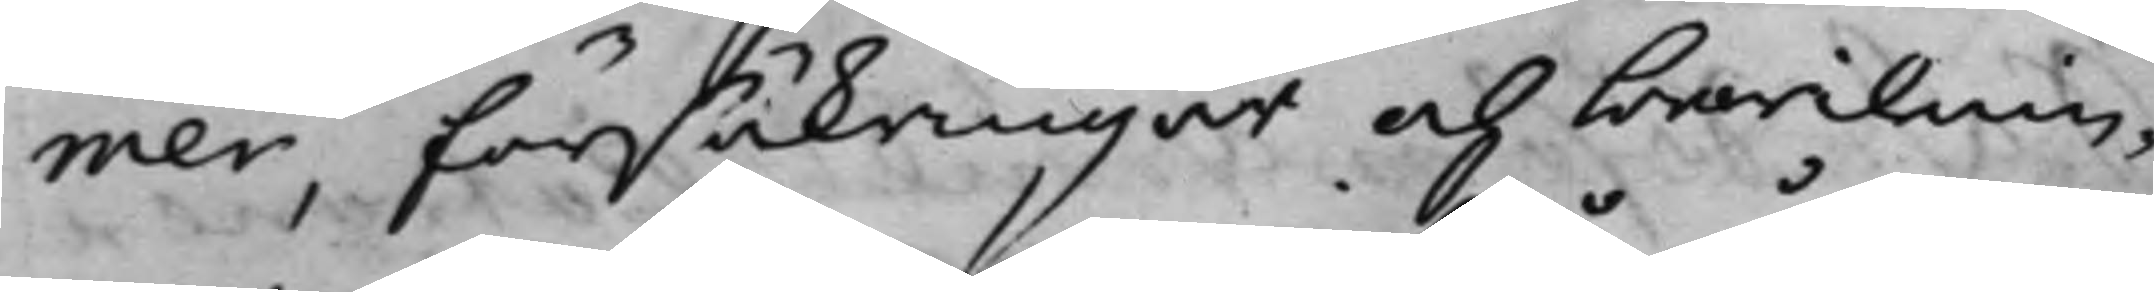mer, försäkringar och bewilnin¬
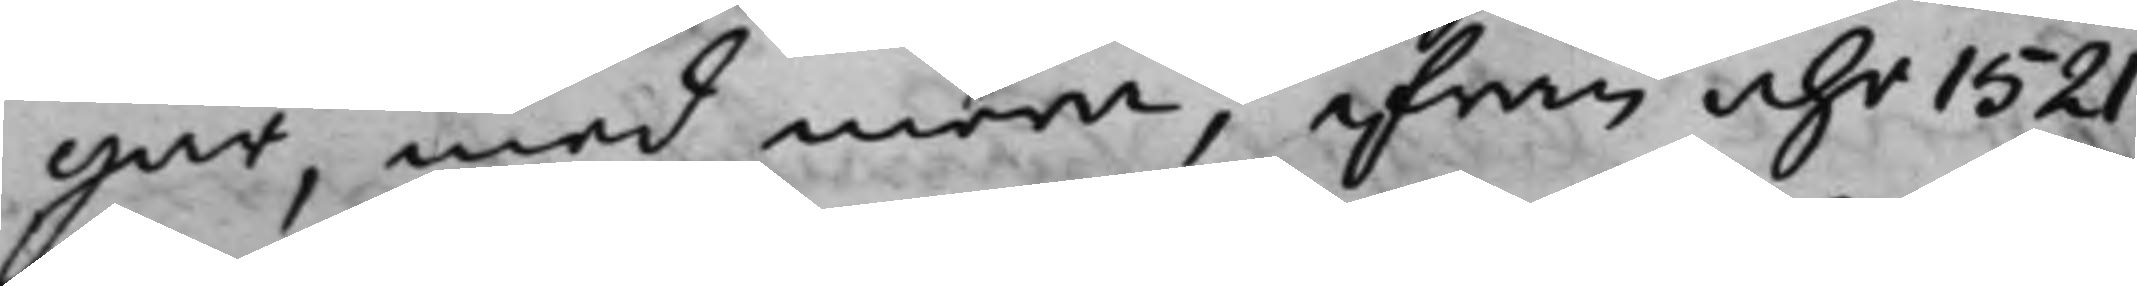gar, med mera, ifrån åhr 1521
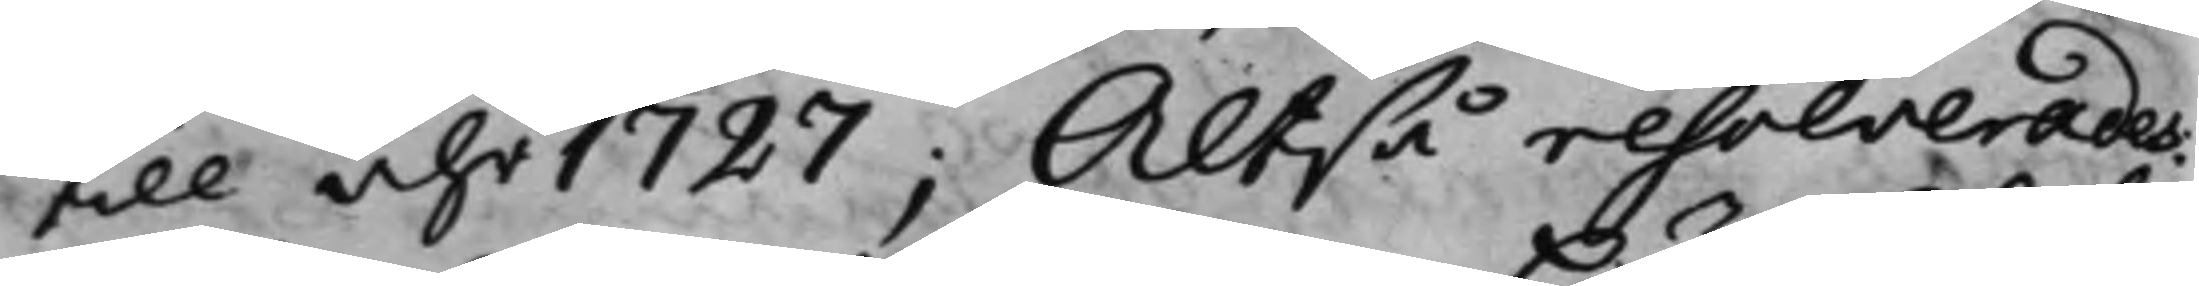till åhr 1727; Altså resolverades.
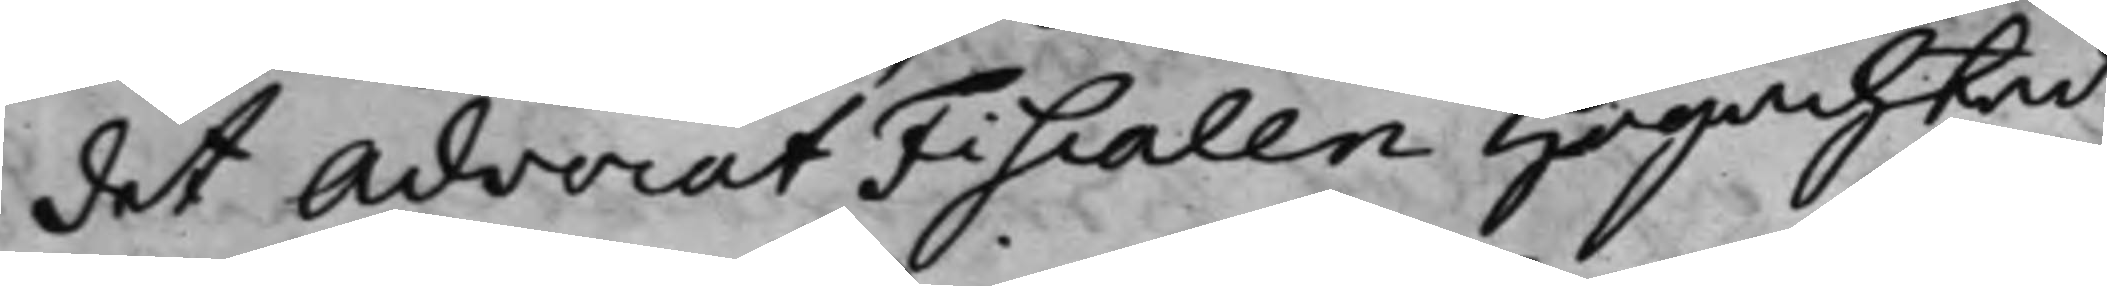det Advocat Fiscalen Högachtad
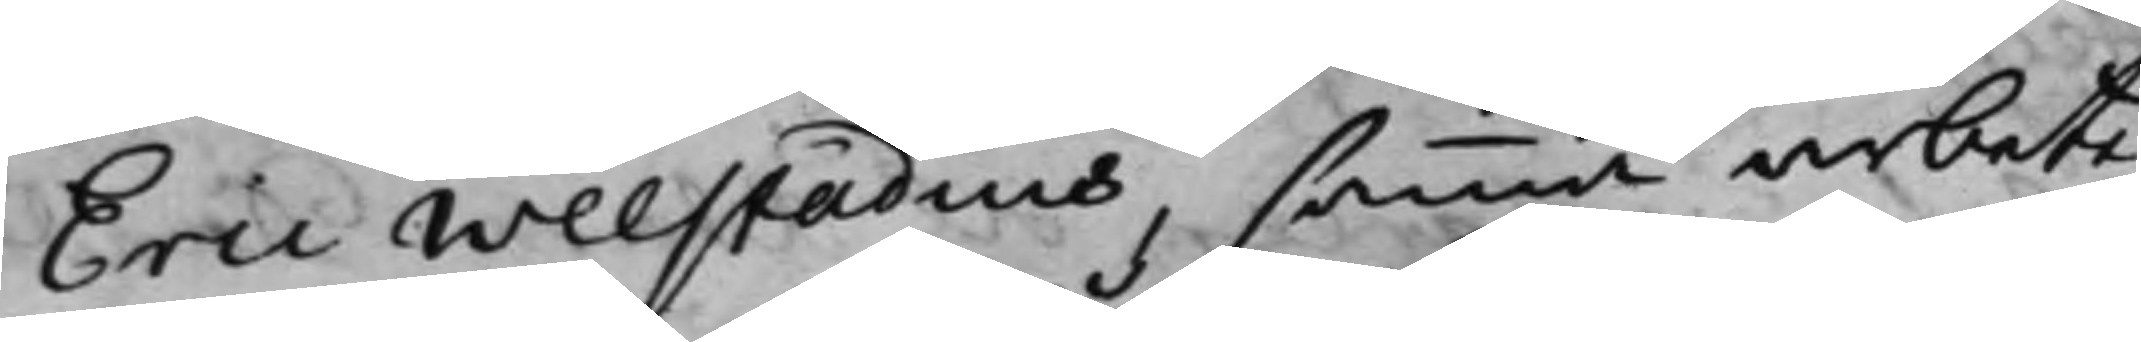Eric Welstadius, samma arbete,
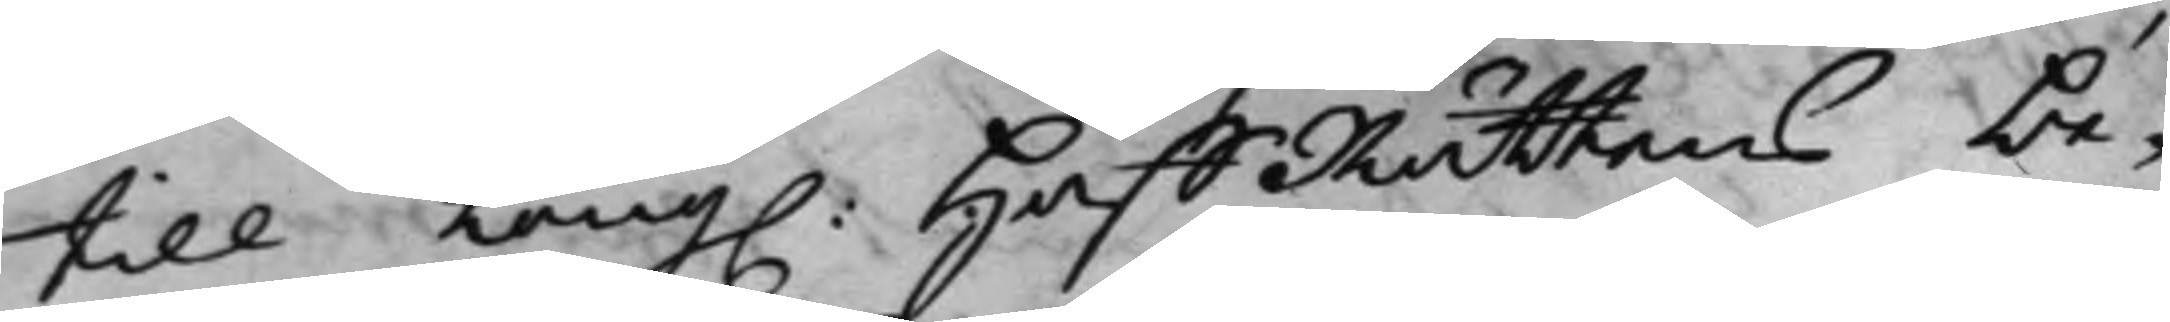till Kong. HåffRättens be¬
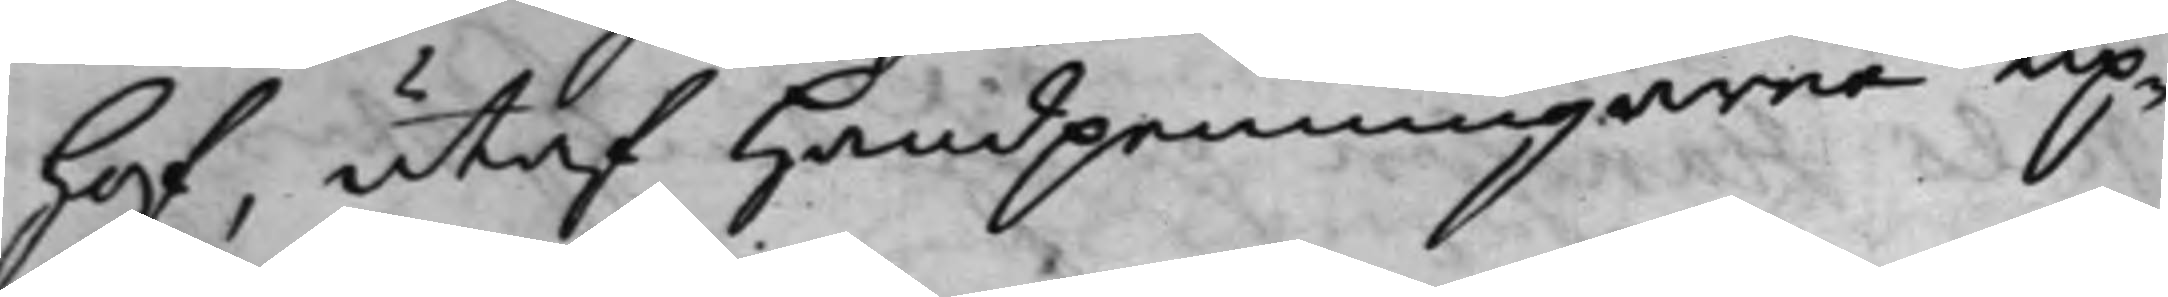hof, utaf handpenningarne up¬
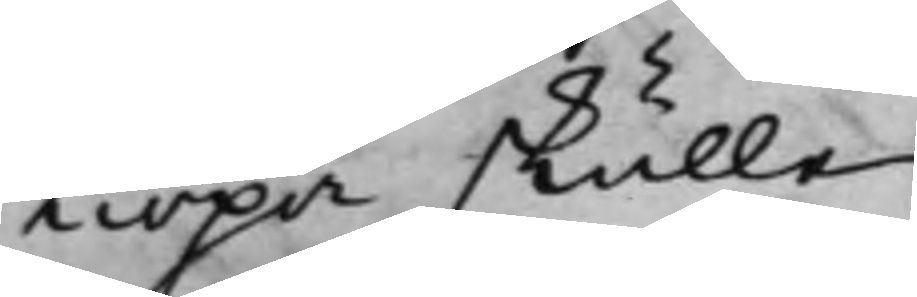kiöpa skulle.
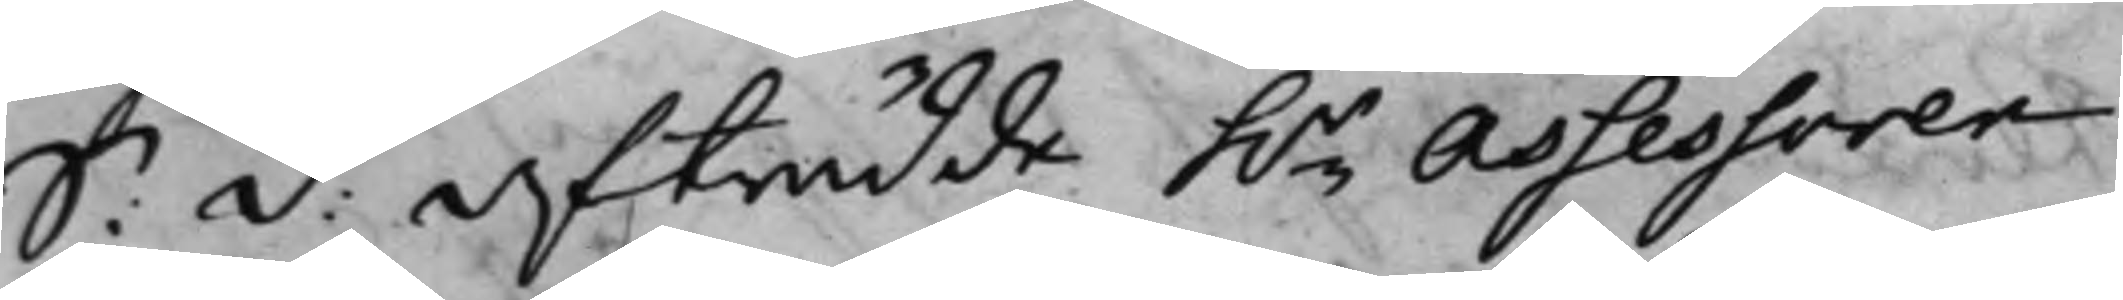S: D: Afträdde h.r Assessoren
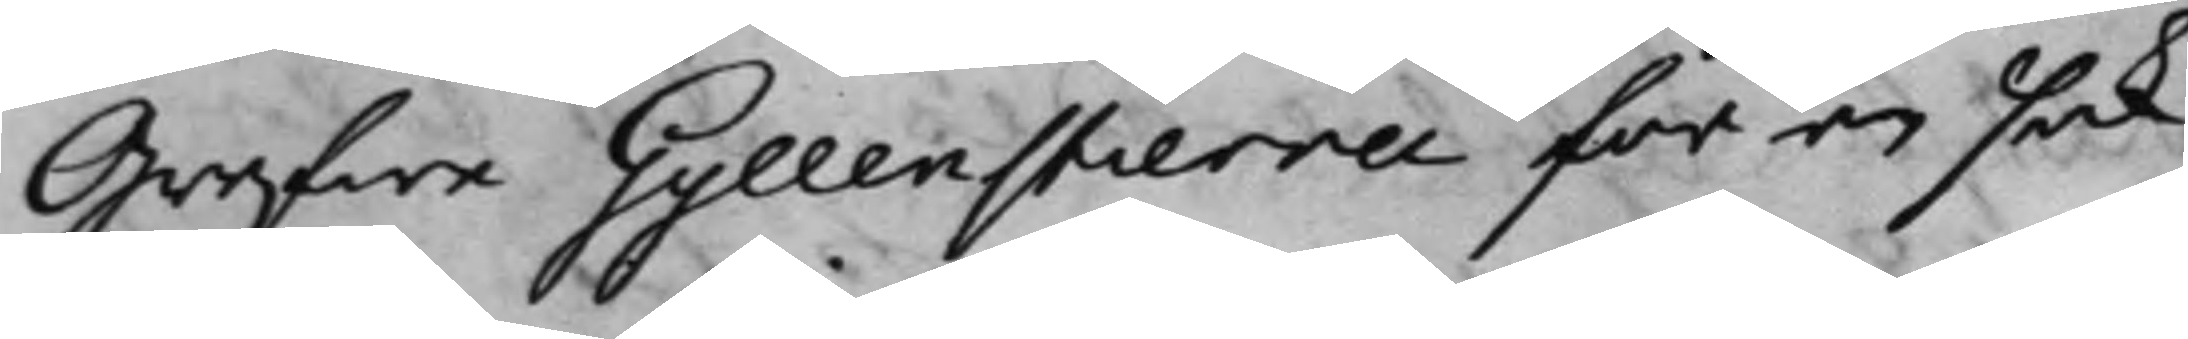Grefwe Gyllenstierna för en sak
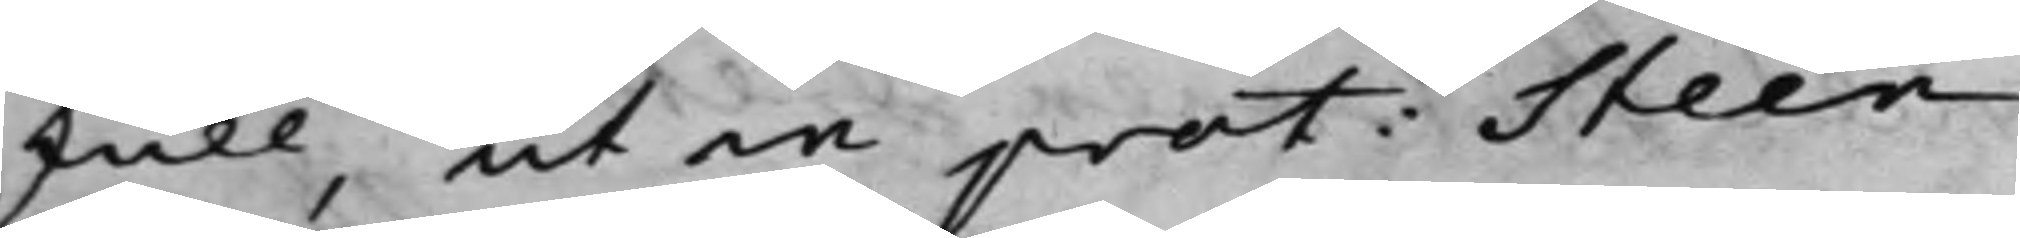skull, ut in prot: Steen.
